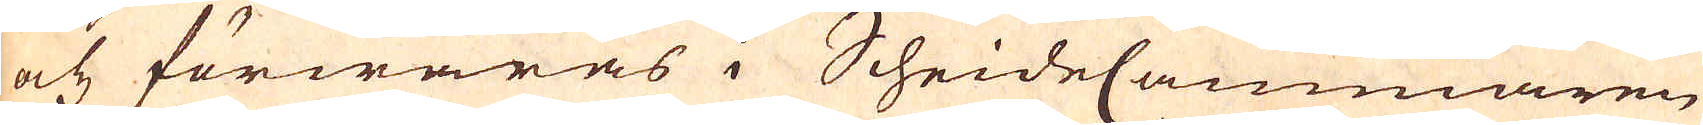och förwaras i ScheideCammaren
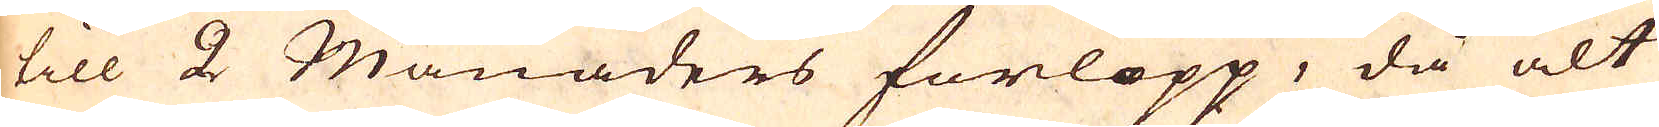till 2 Månaders förlopp, då alt
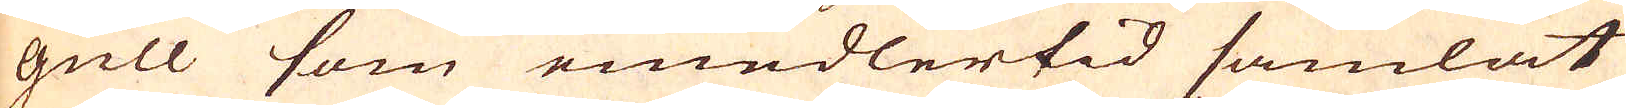gull som emedlertid samlat
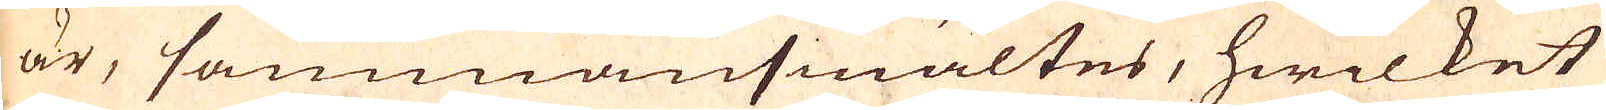är, sammansmältes, hwilket
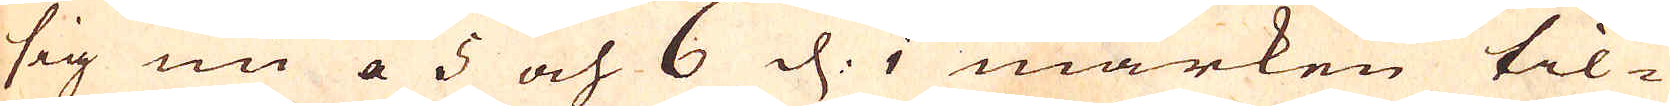sig nu a 5 och 6 d. i marken til-
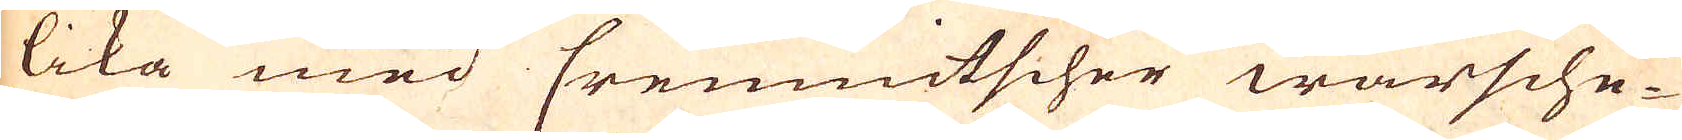lika med Crennictscher warsche-
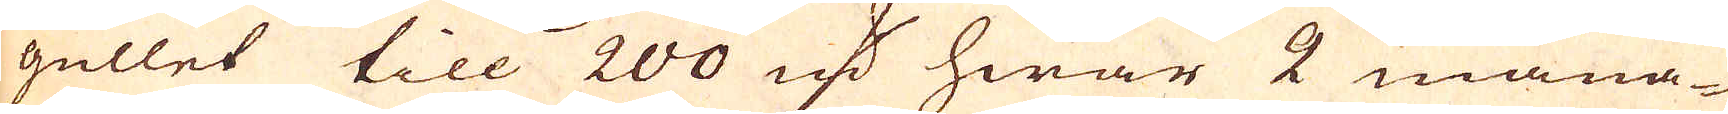gullet till 200 marker hwar 2 måna-
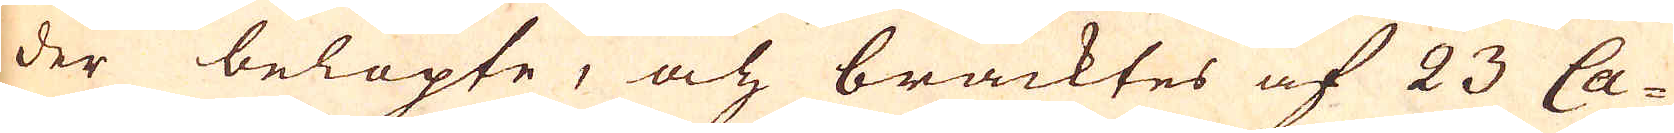der belöpte, och bracktes af 23 Ca-
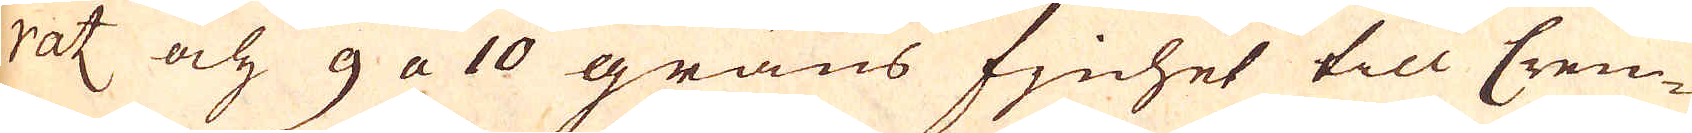rat och 9 a 10 grans fjnhet till Cren-
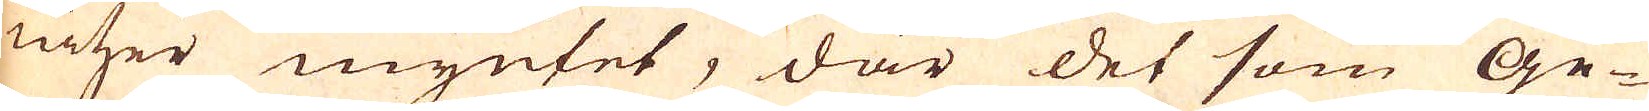nicher myntet, där det som Ge-
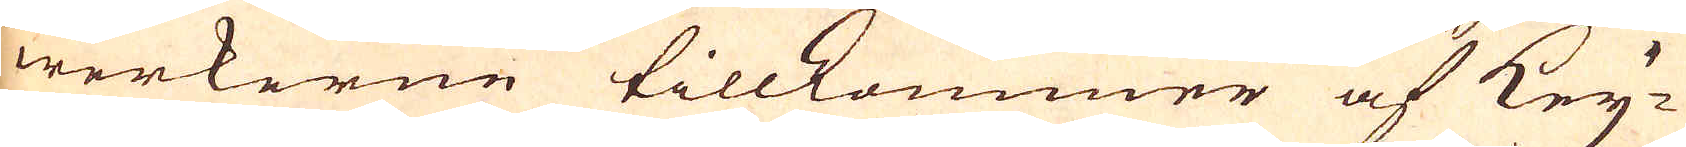werkerne tillkommer af Key-
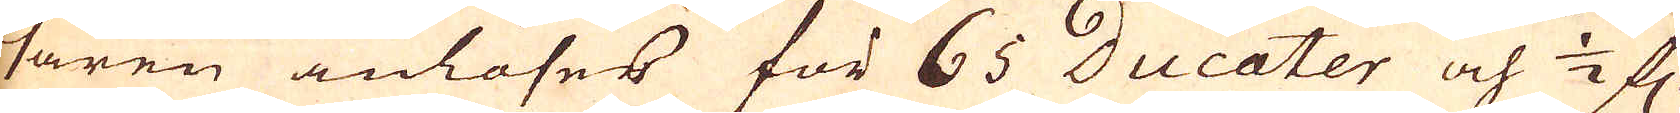saren anlöses för 65 Ducater och 1/2 f:r
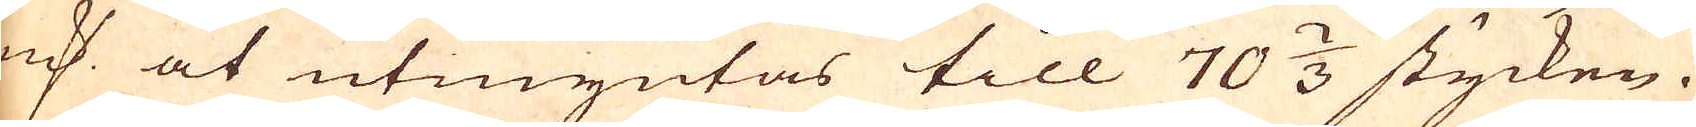marker at utmyntas till 70 2/3 stycken.
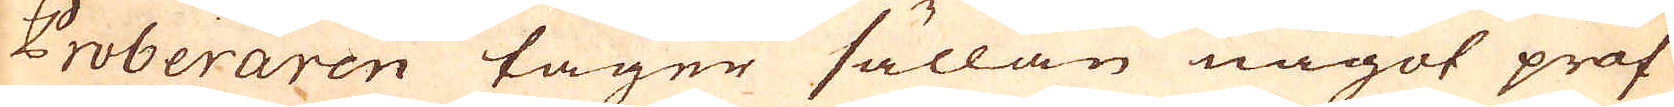Proberaren tager sällan något prof
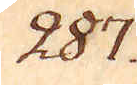287.
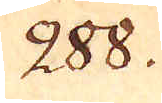288.
